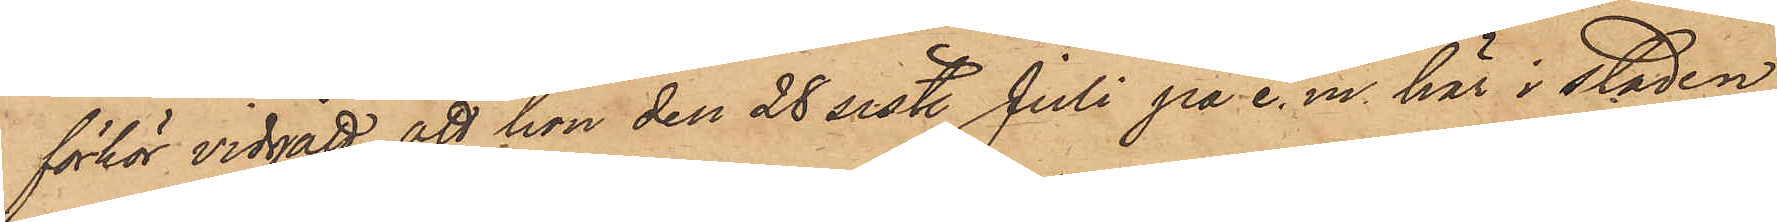förhör vidgått, att hon den 28 sist. Juli på e. m. här i staden
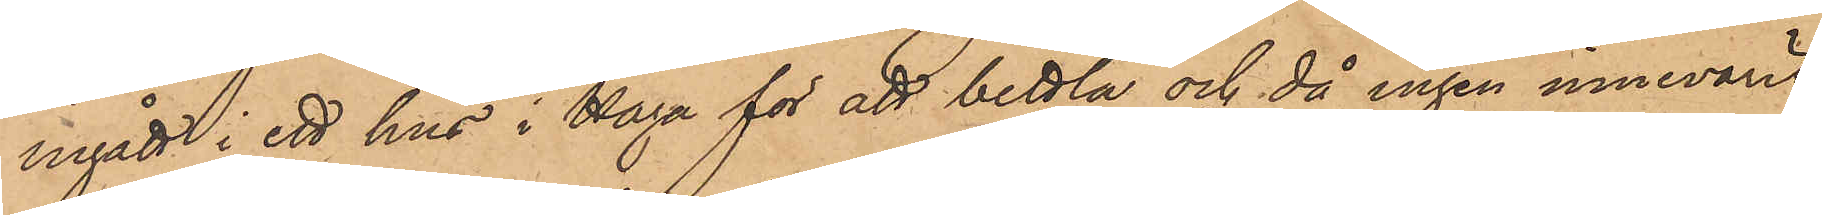ingått i ett hus i Haga för att bettla och då ingen innevarit
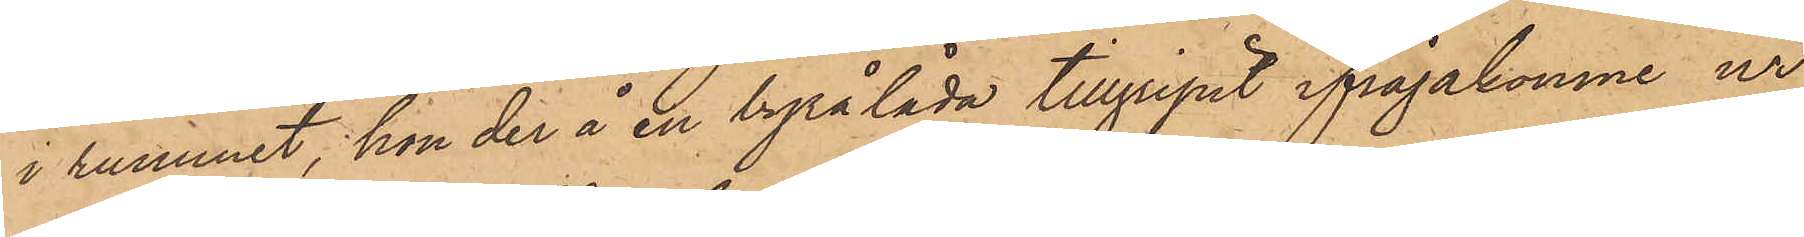i rummet, hon der å en byrålåda tillgripit ifrågakomne ur,
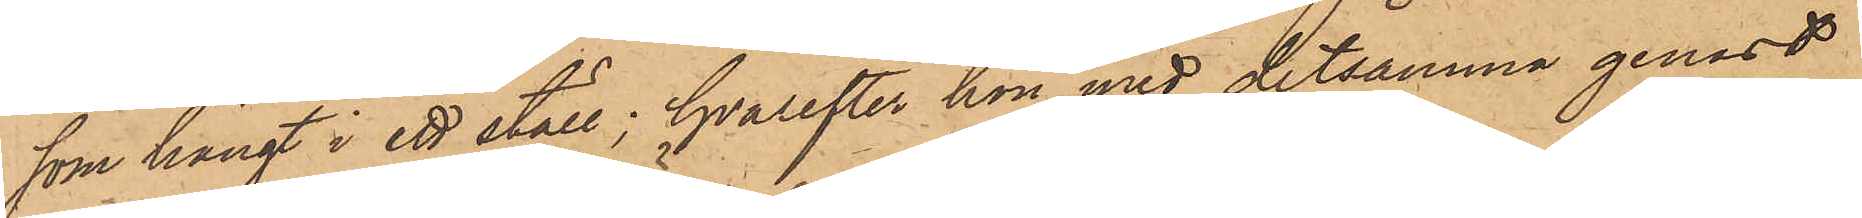som hängt i ett ställ; hvarefter hon med detsamma genast
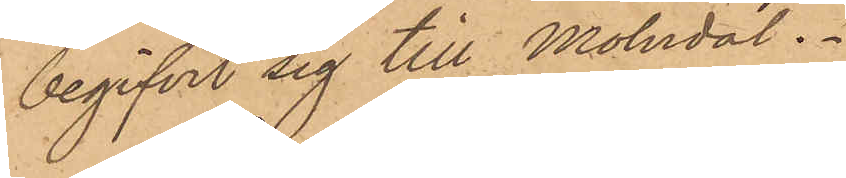begifvit sig till Mölndal.
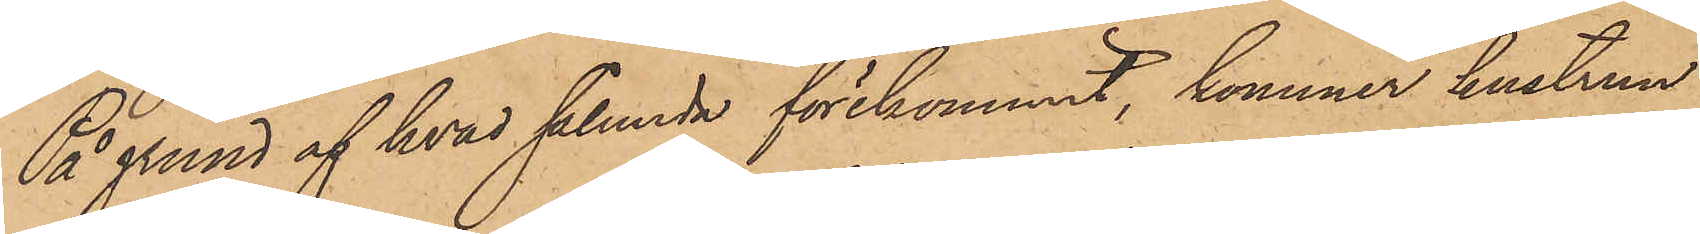På grund af hvad sålunda förekommit, kommer hustrun
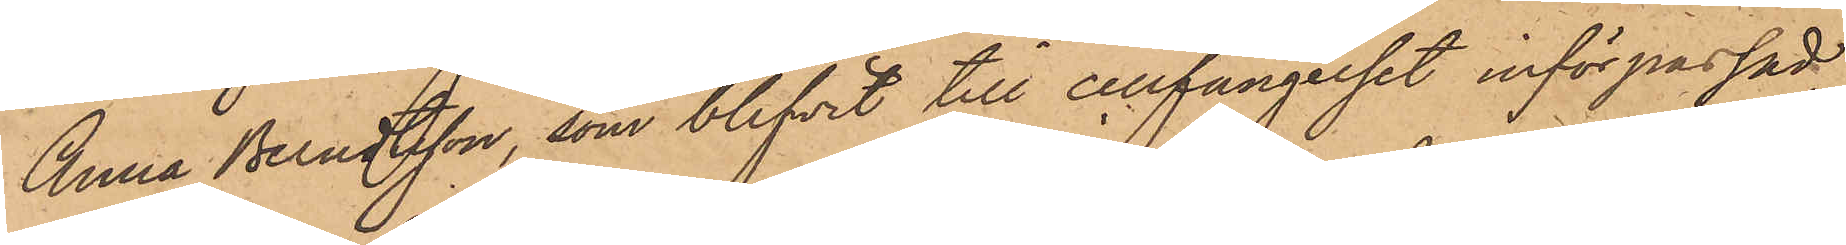Anna Berndtsson, som blifvit till cellfängelset införpassad,
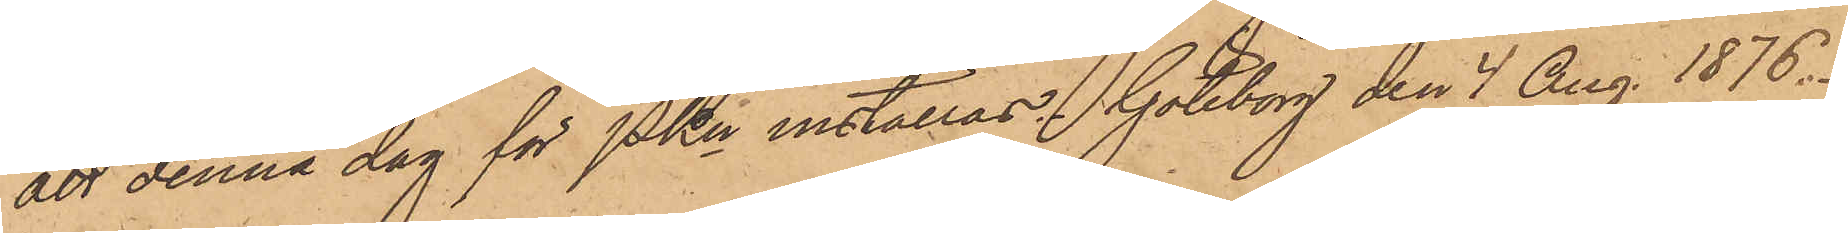att denna dag för PKn inställas. Göteborg den 4 Aug. 1876.
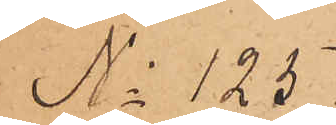No 125
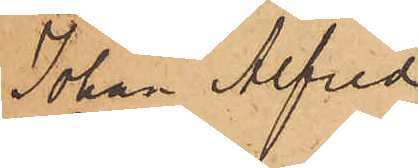Johan Alfred
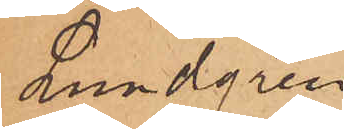Lundgren
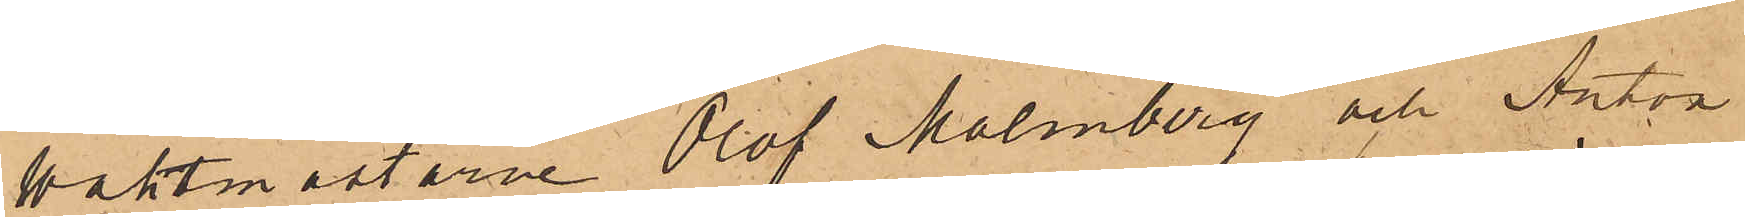Waktmästarne Olof Malmberg och Anton
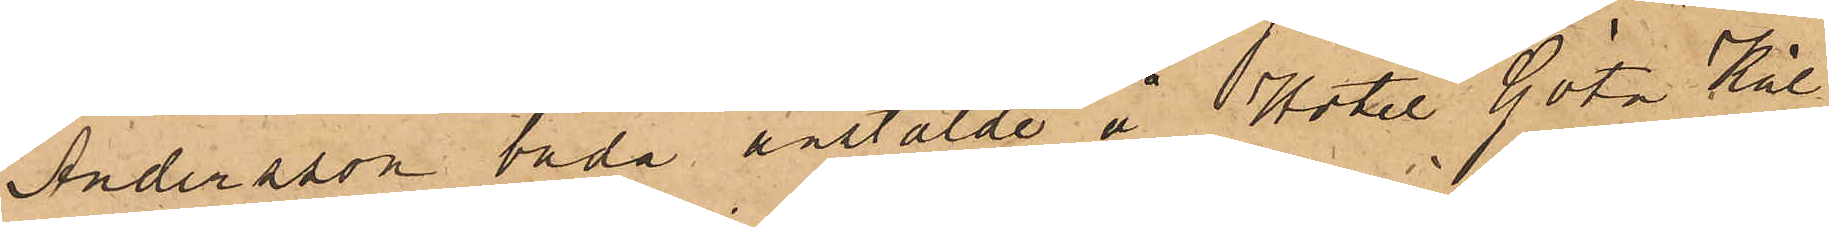Andersson båda anstälde å Hotel Göta Käl¬
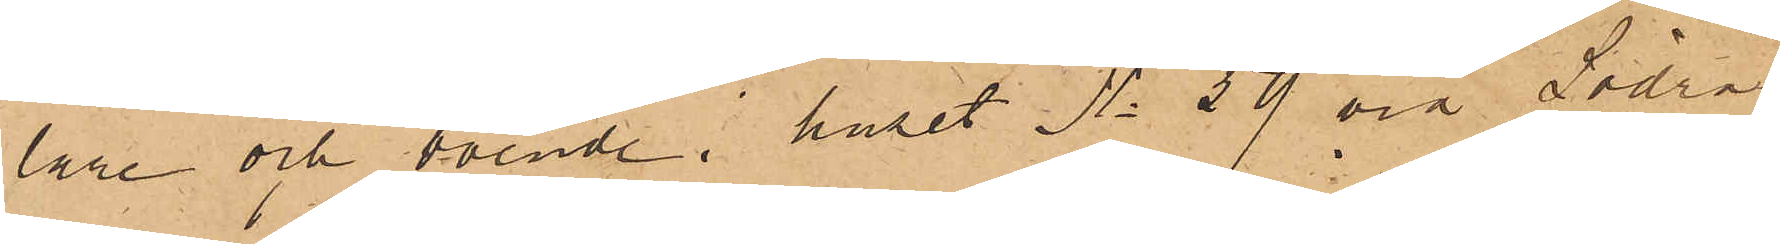lare och boende i huset No 59 vid Södra
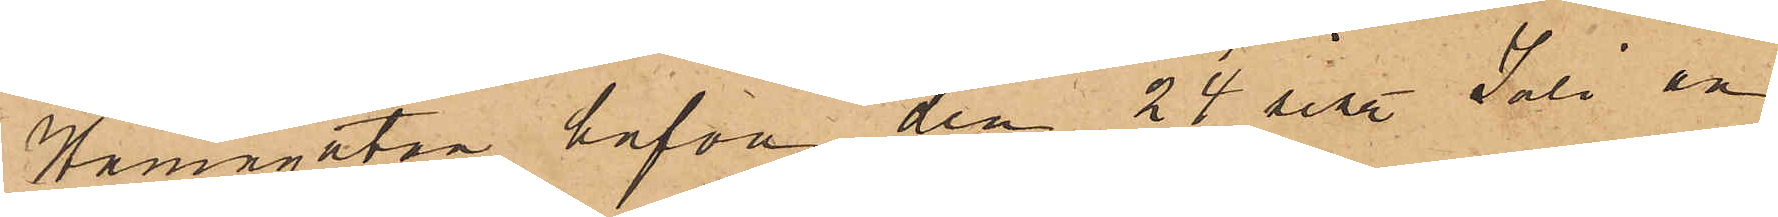Hamngatan hafva den 24 sist. Juli an¬
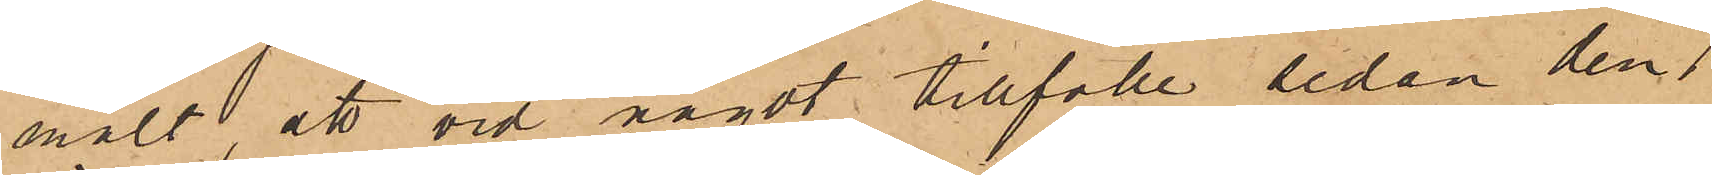mält, att vid något tillfälle sedan den 1
